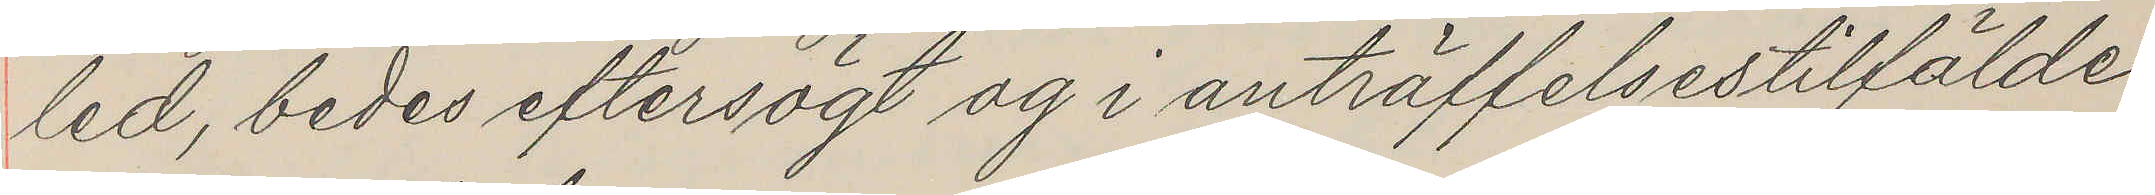led, bedes eftersögt og i anträffelsestilfälde
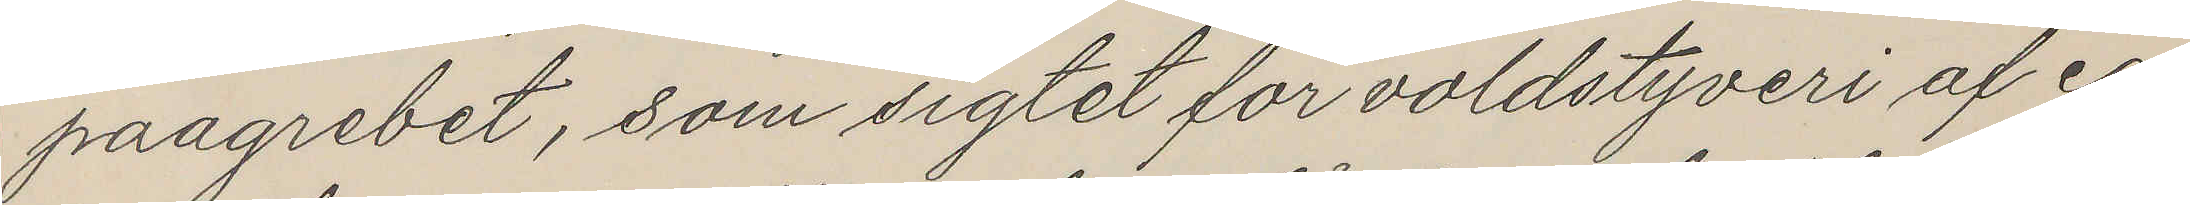paagrebet, som sigtet for voldstyveri af ca
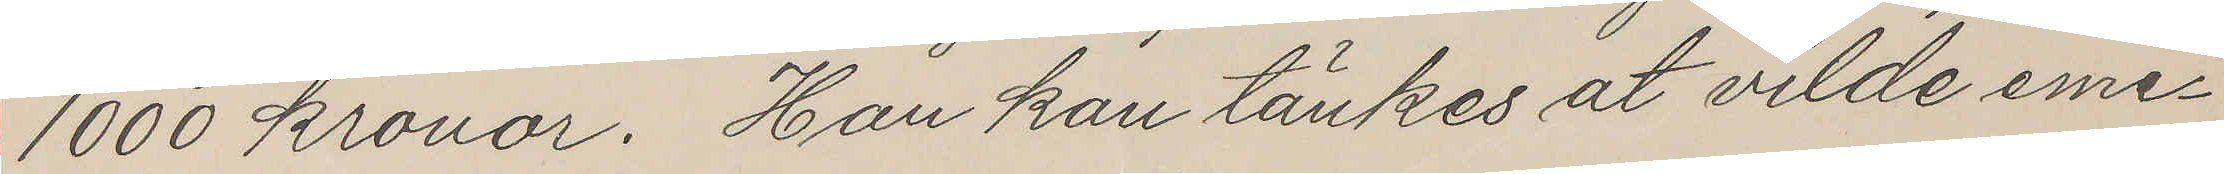1000 kronor. Han kan tänkes at vilde eme¬
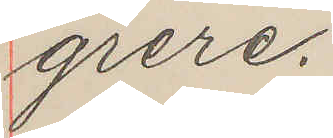grere.
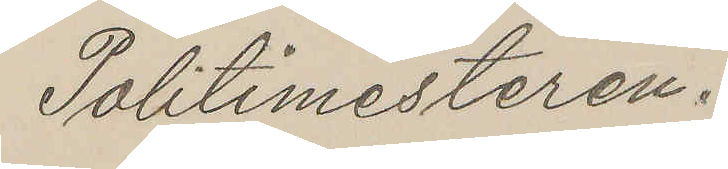Politimesteren.
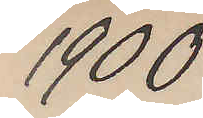1900
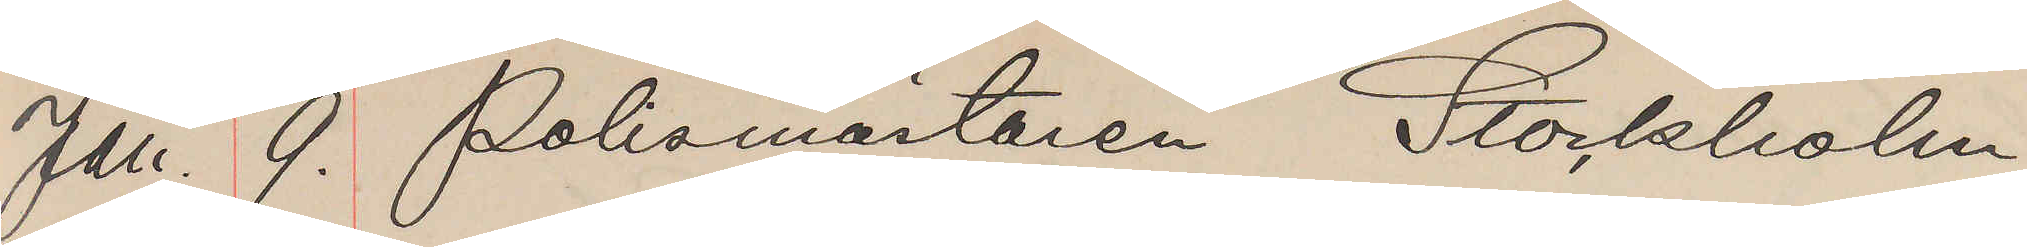Jan. 9. Polismästaren Stockholm
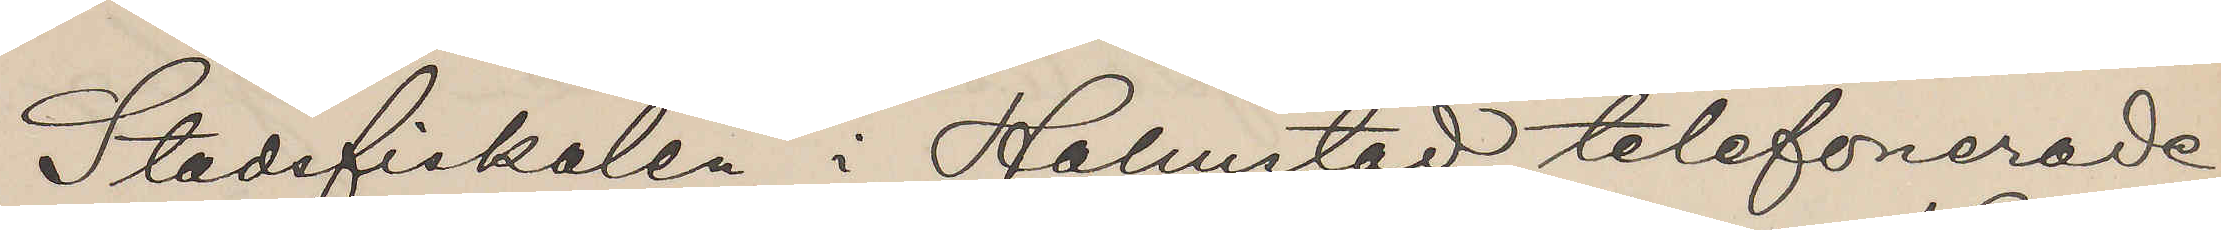Stadsfiskalen i Halmstad telefonerade
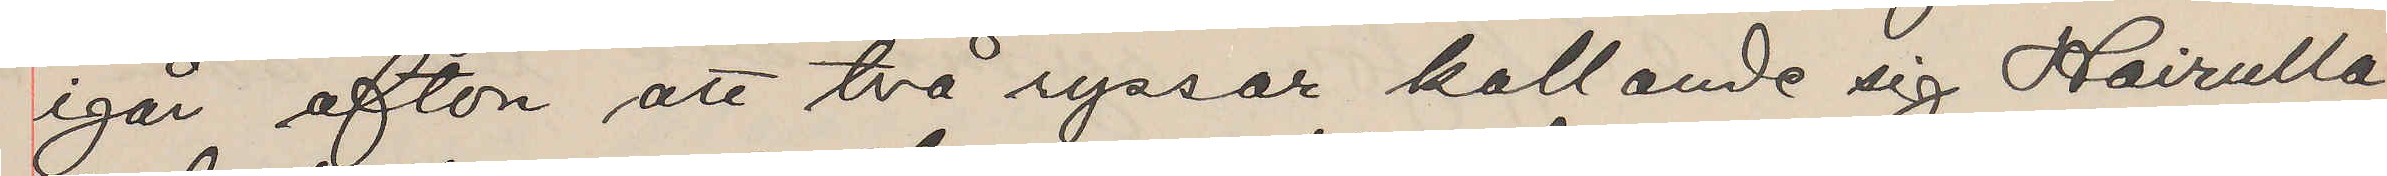igår afton att två ryssar kallande sig Hairulla
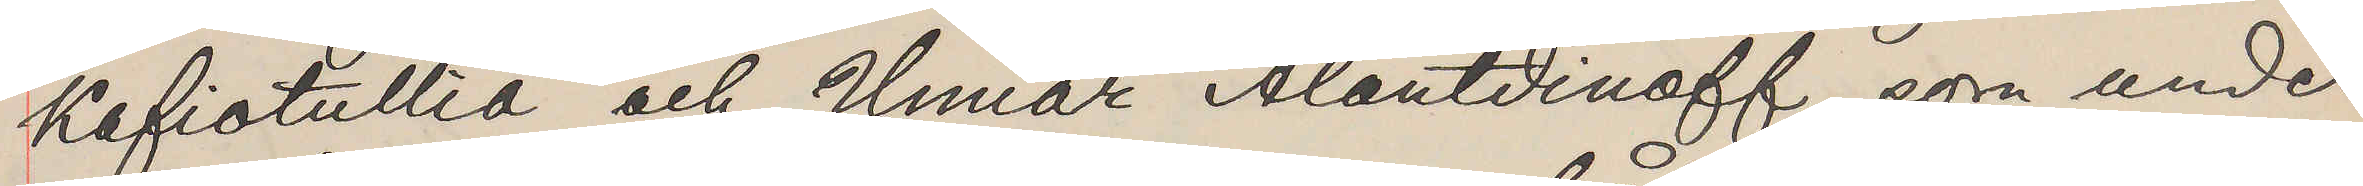Kafiotullia och Umiar Alantdinoff, som under
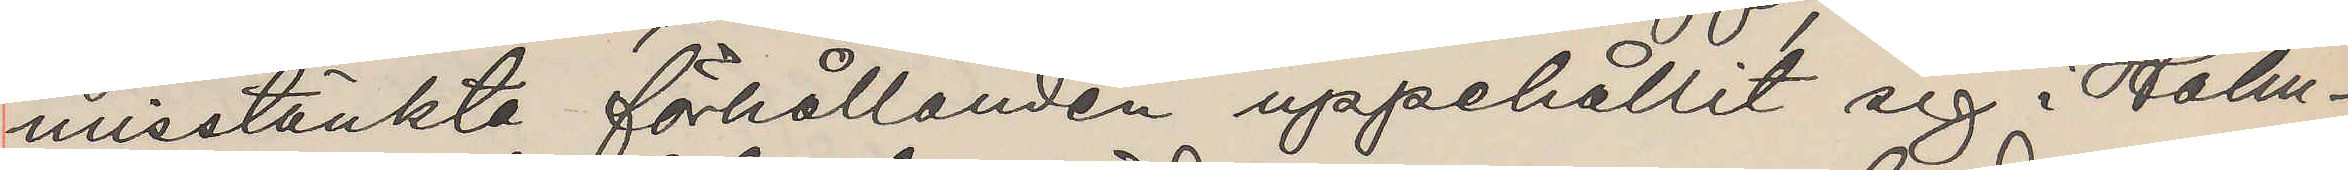misstänkta förhållanden uppehållit sig i Halm¬
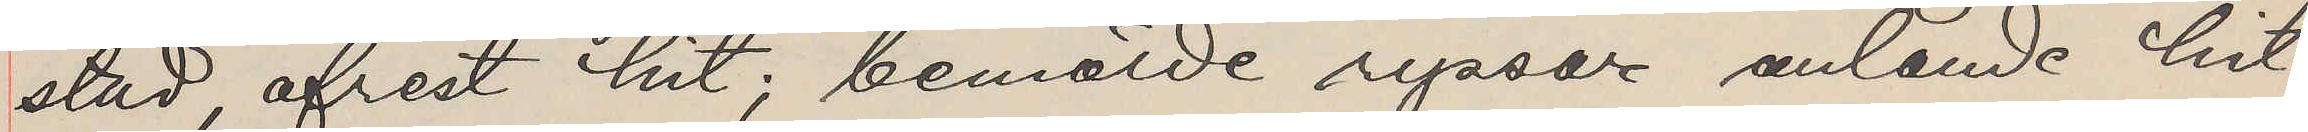stad, afrest hit; bemälde ryssar anlande hit
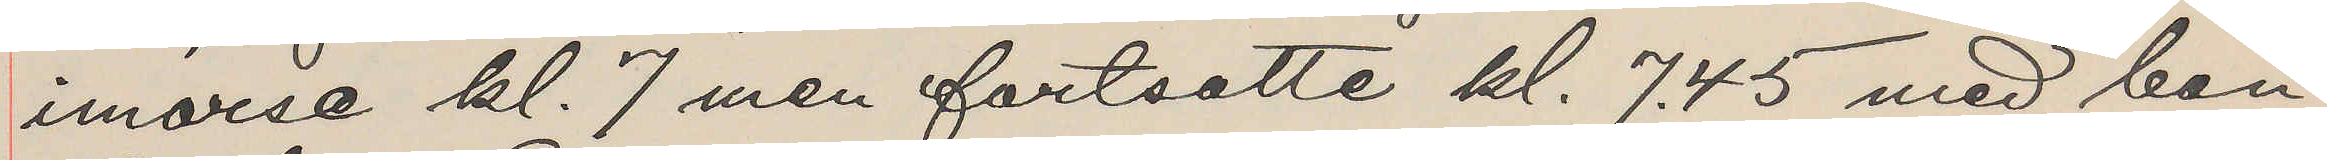imorse kl. 7 men fortsatte kl. 7,45 med ban¬
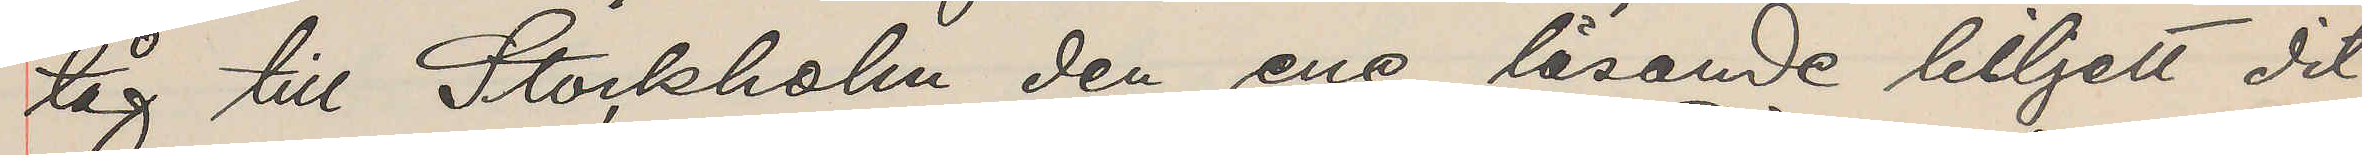tåg till Stockholm den ene lösande biljett dit
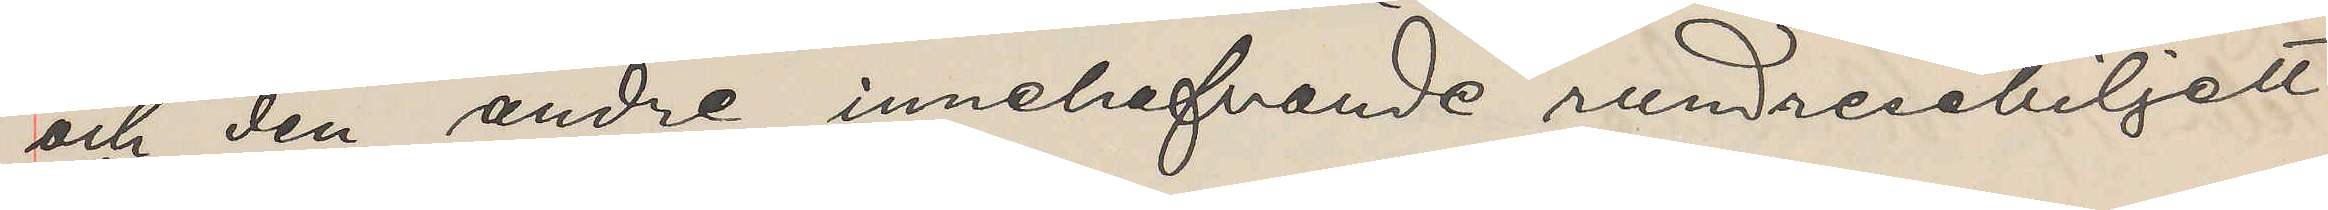och den andre innehafvande rundresebiljett
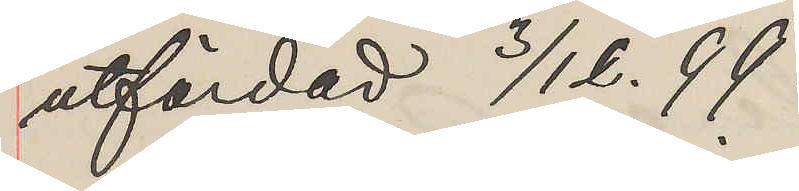utfärdad 3/12. 99.
